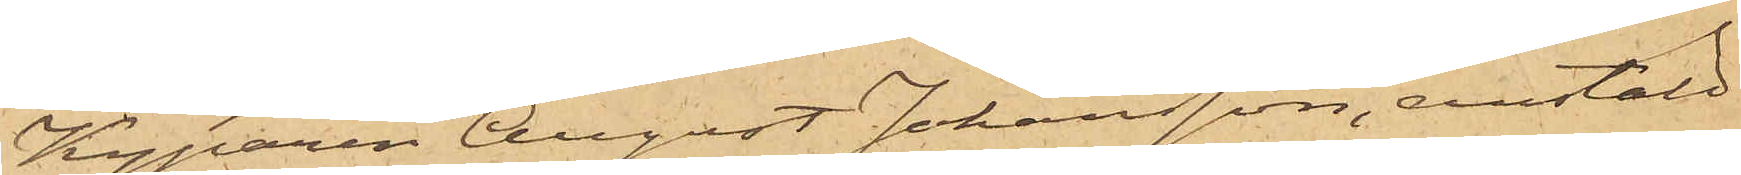Kyparen August Johansson, anstäld
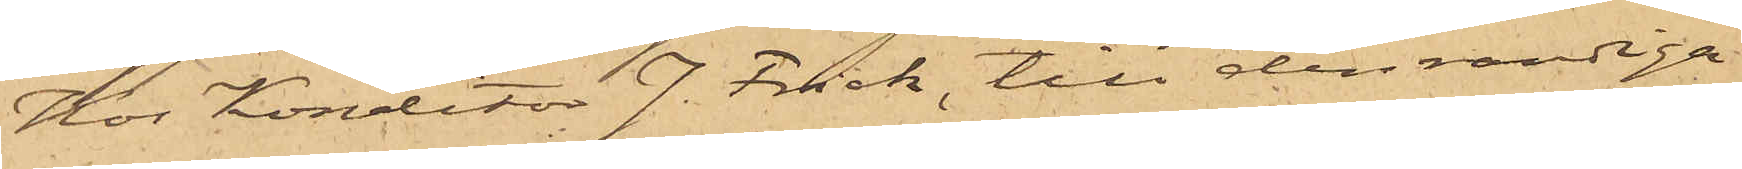Hos Konditor J. Frick, till den randiga
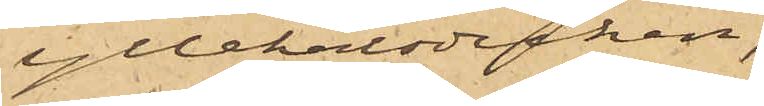yllehalsduken;
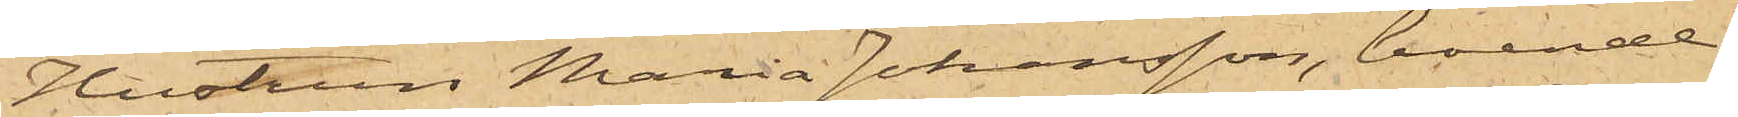Hustrun Maria Johansson, boende
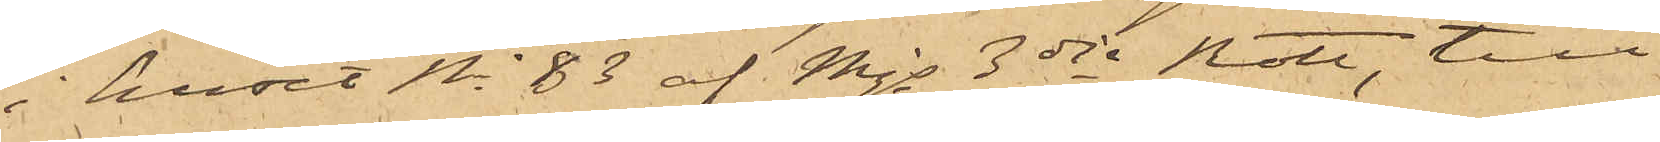i huset No 83 af Mjs 3dje Rote, till
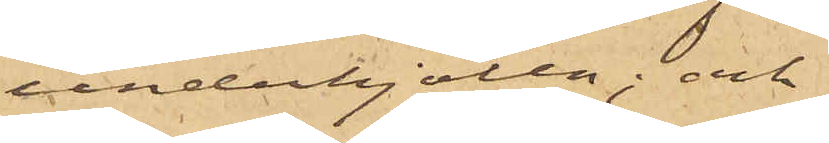underkjolen; och
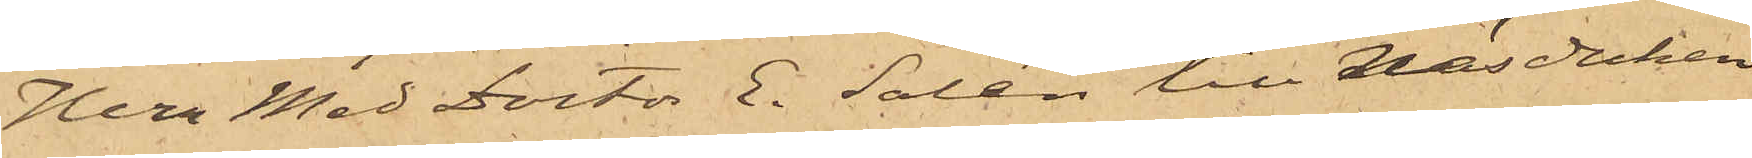Herr Med Doctor E. Salén till Näsduken
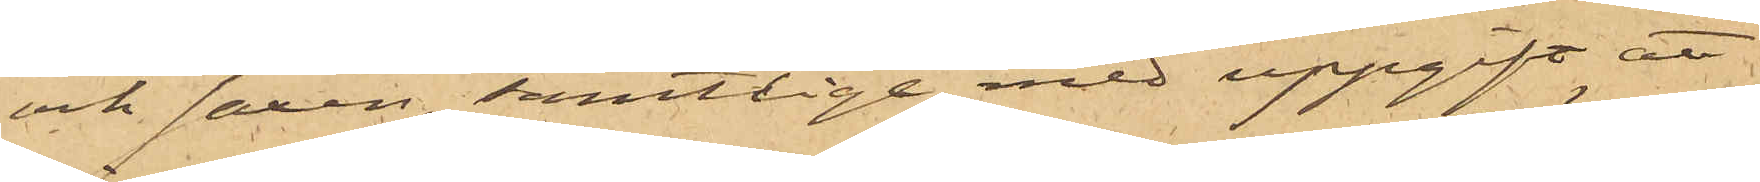och saxen, samtlige med uppgift att
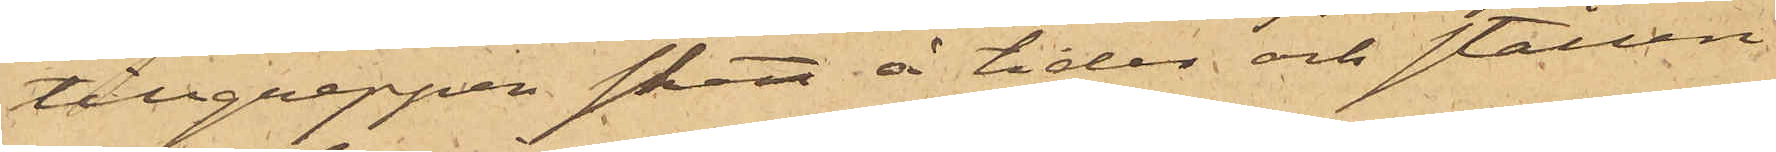tillgreppen skett å tider och ställen
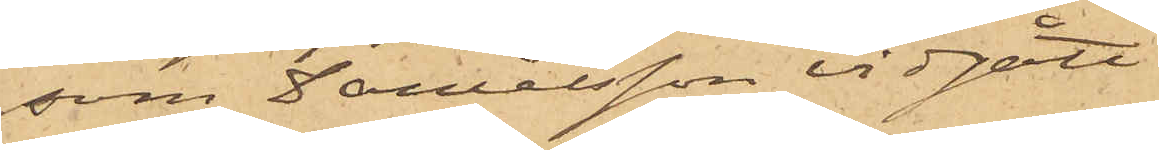som Danielsson vidgått.
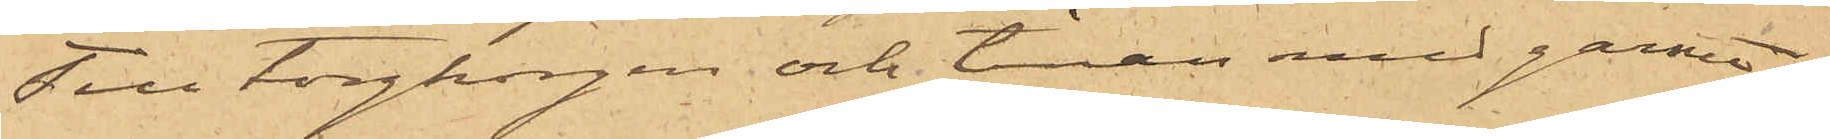Till torgkorgen och tinan med garnet
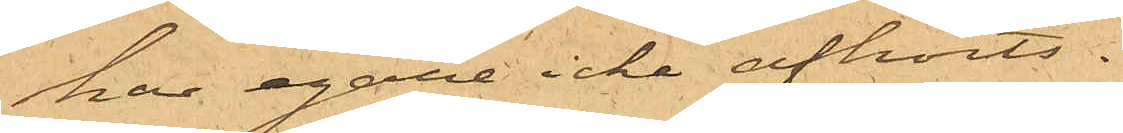har egare icke afhörts.
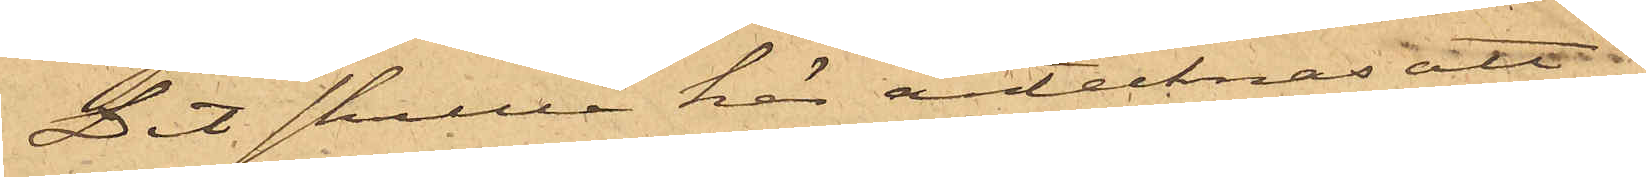Det skulle här antecknas att
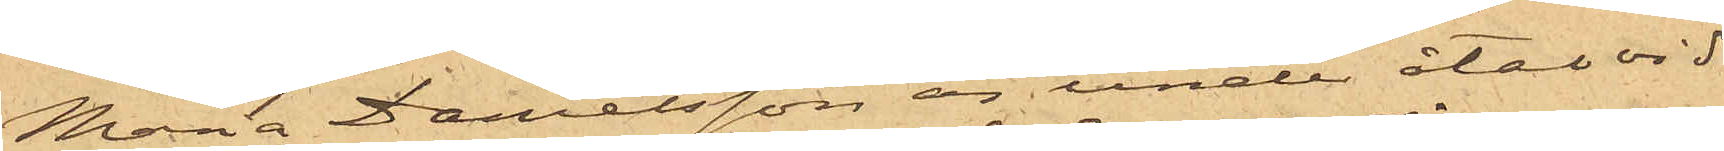Maria Danielsson är under åtal vid
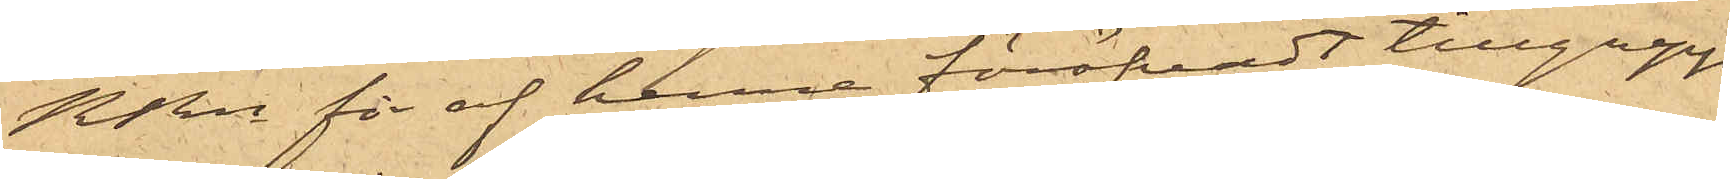RRn för af henne föröfvadt tillgrepp
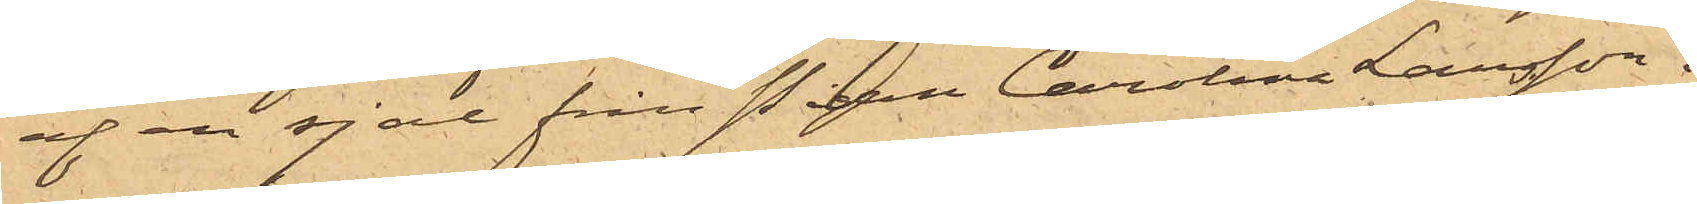af en sjal från Pigan Carolina Larsson.
